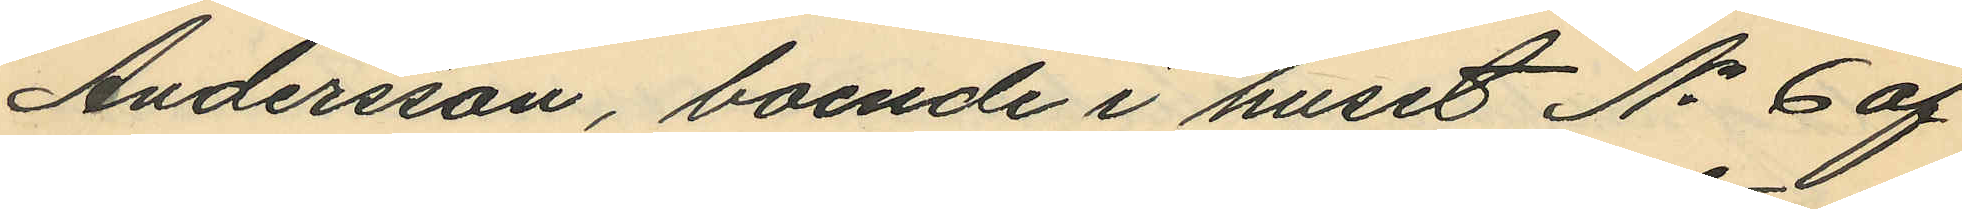Andersson, boende i huset No 6 af
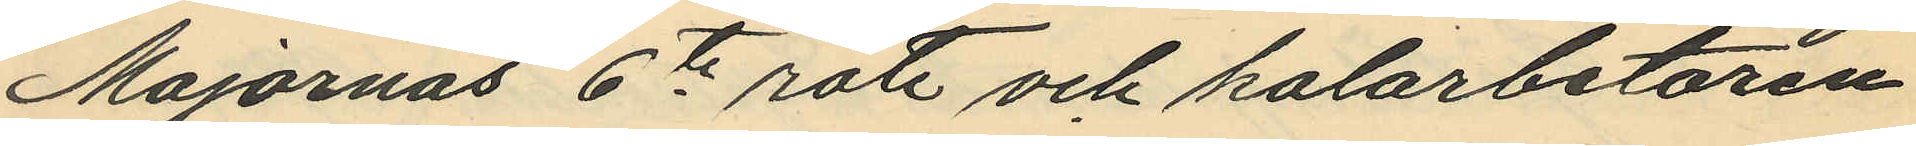Majornas 6te rote och kolarbetaren
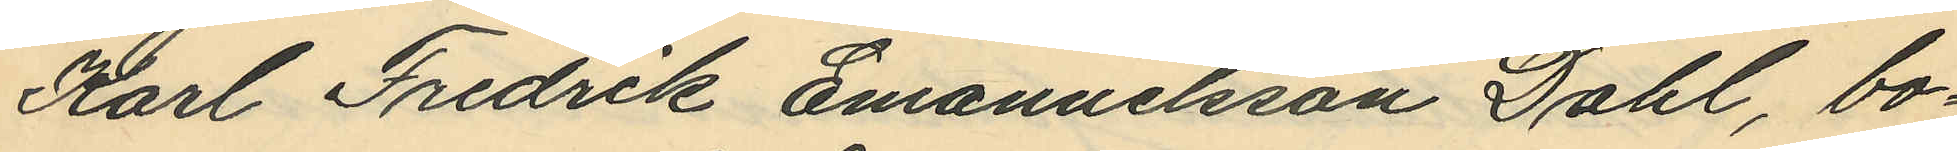Karl Fredrik Emanuelsson Dahl, bo¬
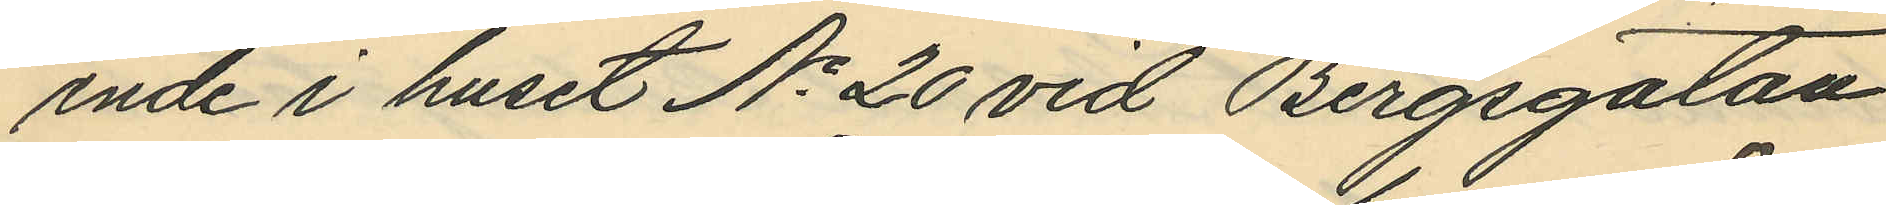ende i huset No 20 vid Bergsgatan
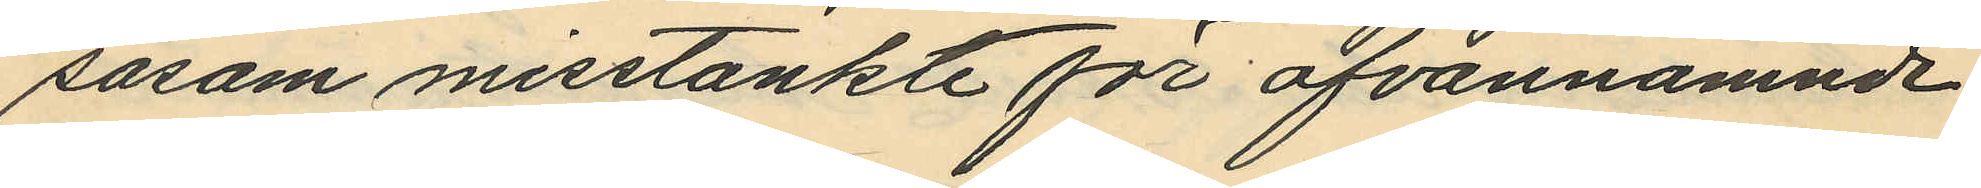såsom misstänkte för ofvannämnde
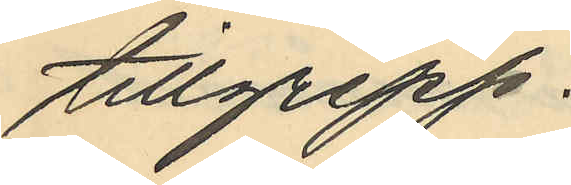tillgrepp.
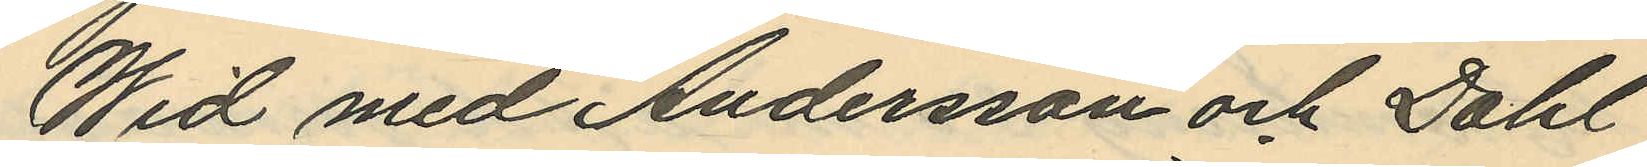Wid med Andersson och Dahl
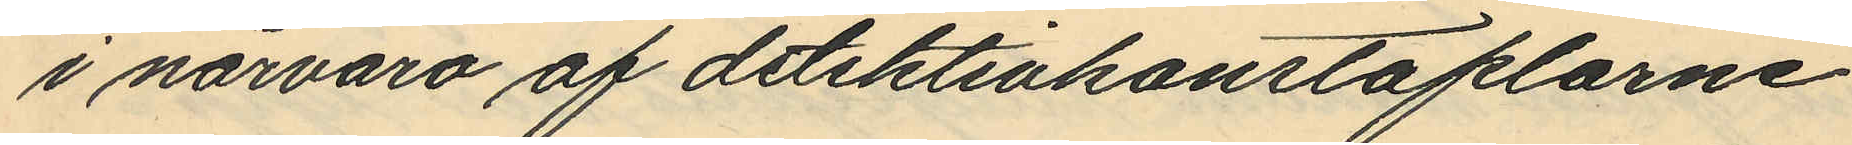i närvaro af detektivkonstaplarne
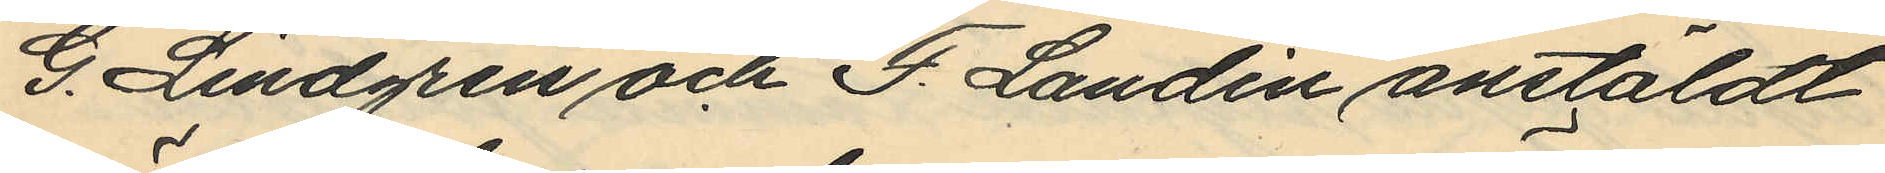G. Lindgren och F. Landin anstäldt
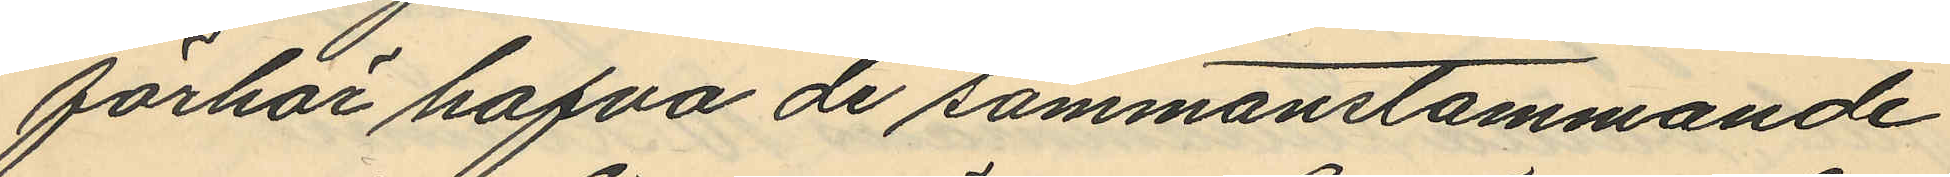förhör hafva de sammanstämmande
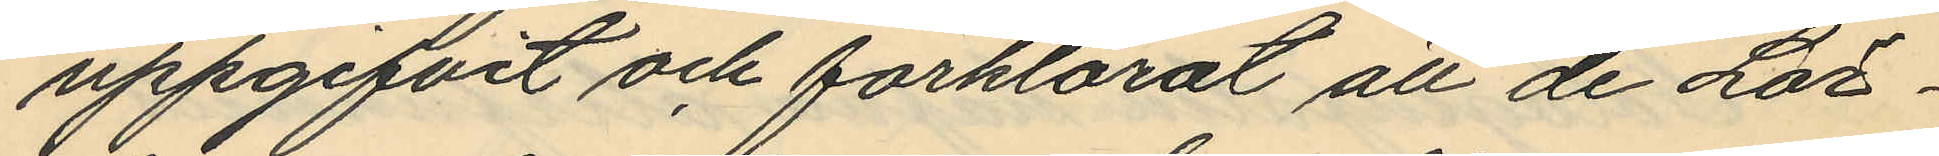uppgifvit och förklarat att de Lör¬
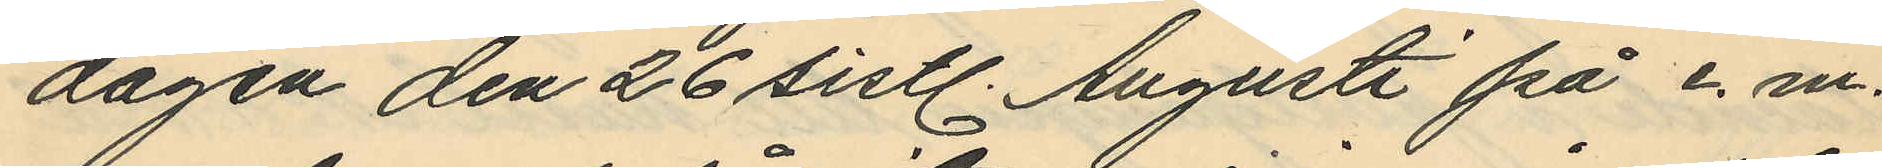dagen den 26 sistl. Augusti på e.m.
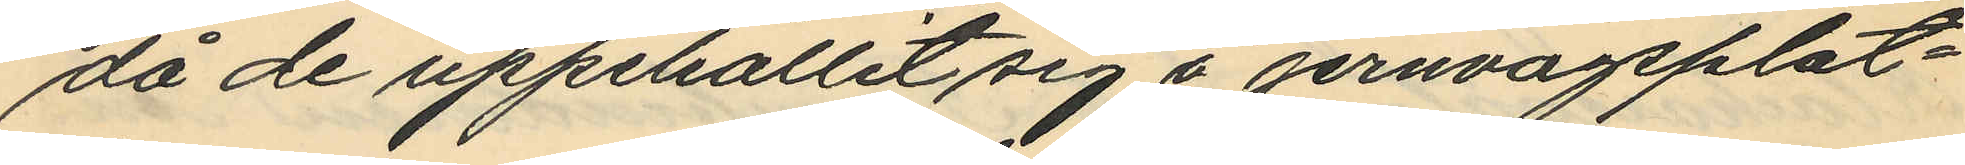då de uppehållit sig å jernvågsplat¬
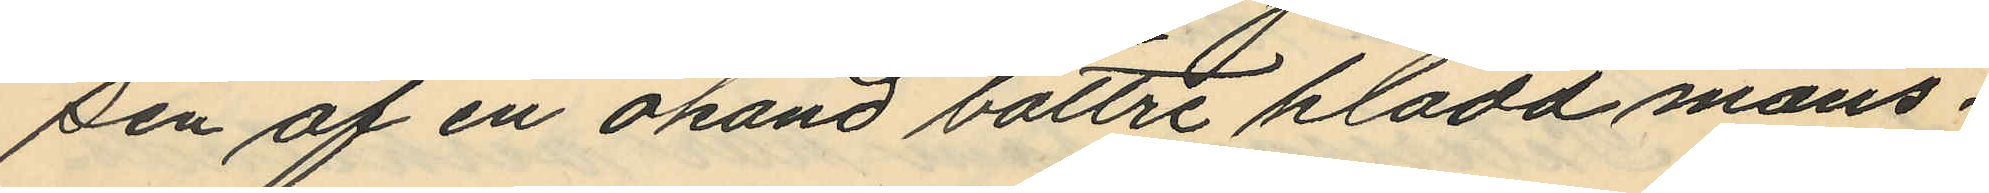sen af en okänd bättre klädd mans¬
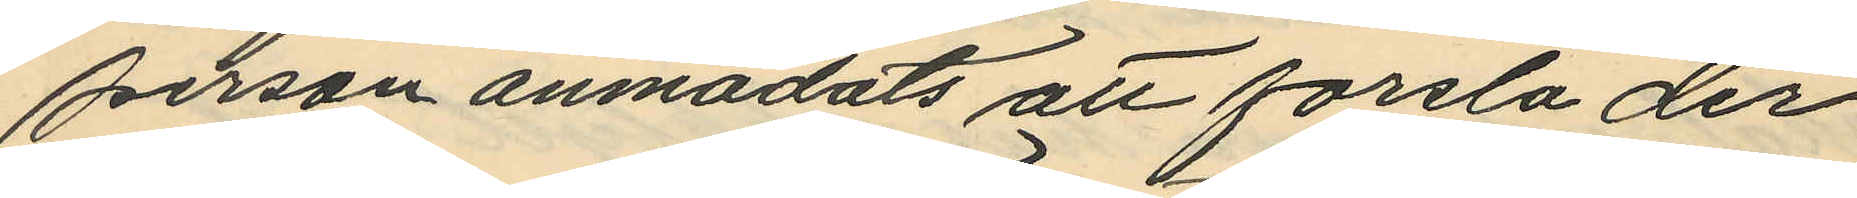person anmodats att forsla der
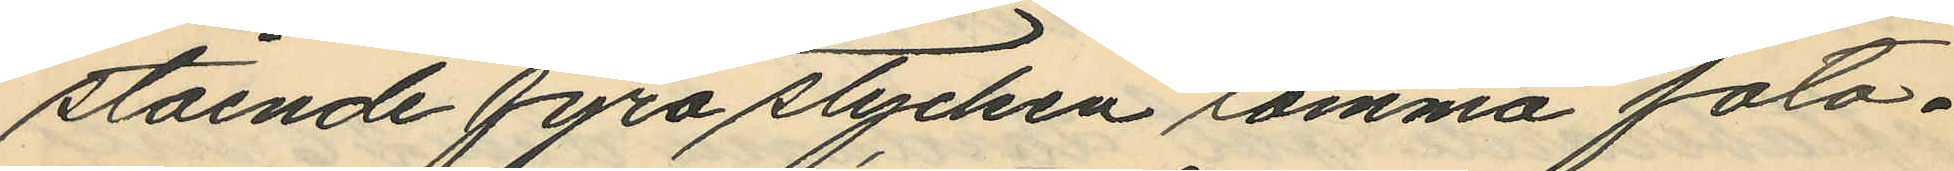stående fyra stycken samma foto¬
